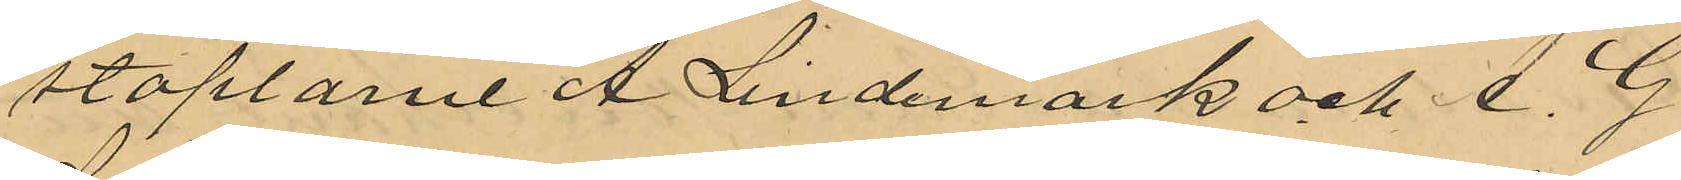staplarne A. Lindemark och A. G.
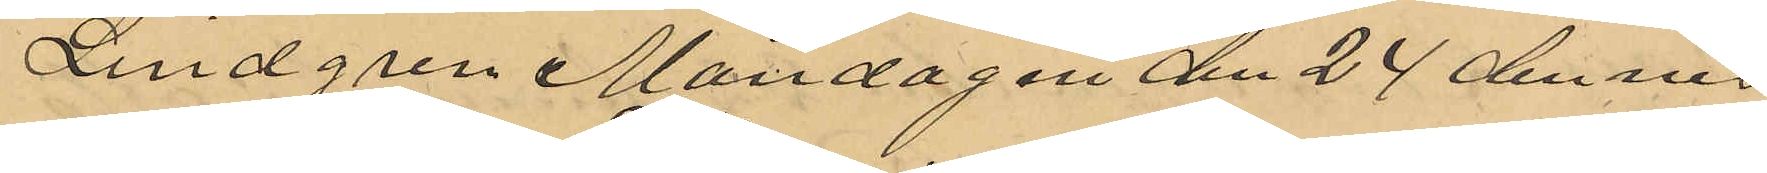Lindgren Måndagen den 24 dennes
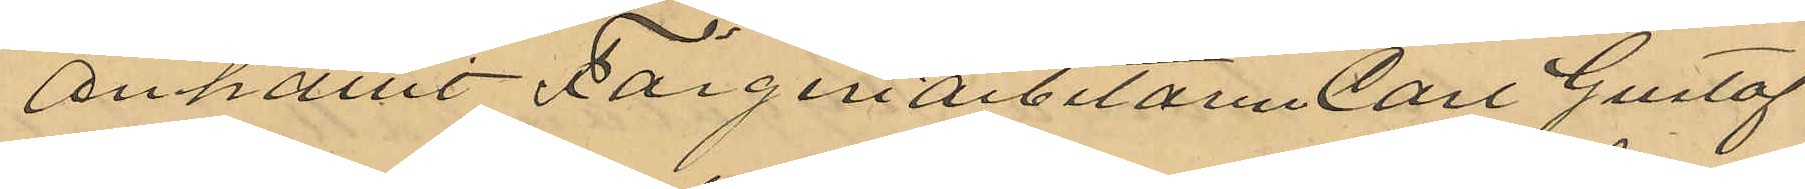anhållit Färgeriarbetaren Carl Gustaf
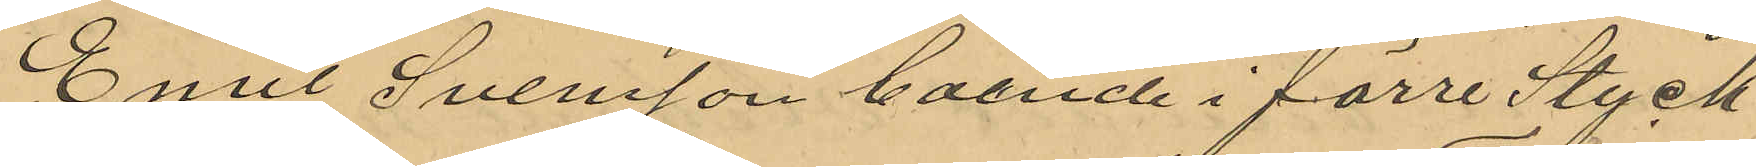Emil Svensson boende i förre Styck
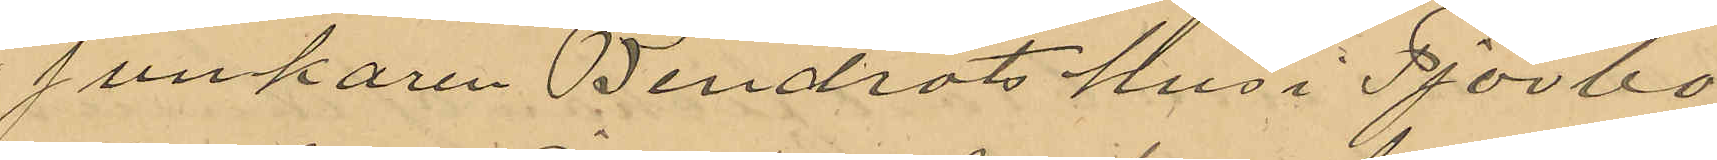junkaren Bendrots hus i Tjörbo¬
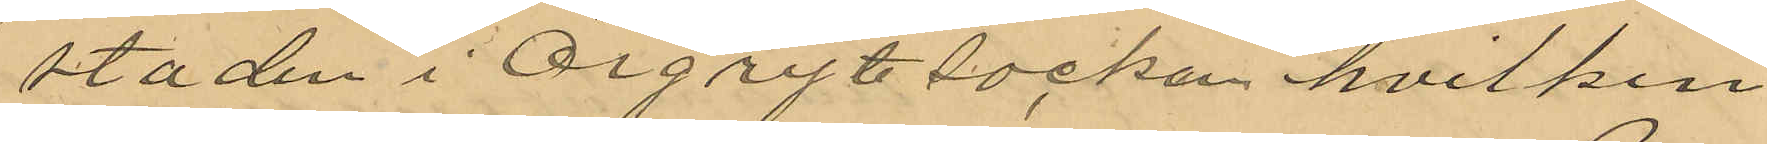staden i Örgryte socken hvilken
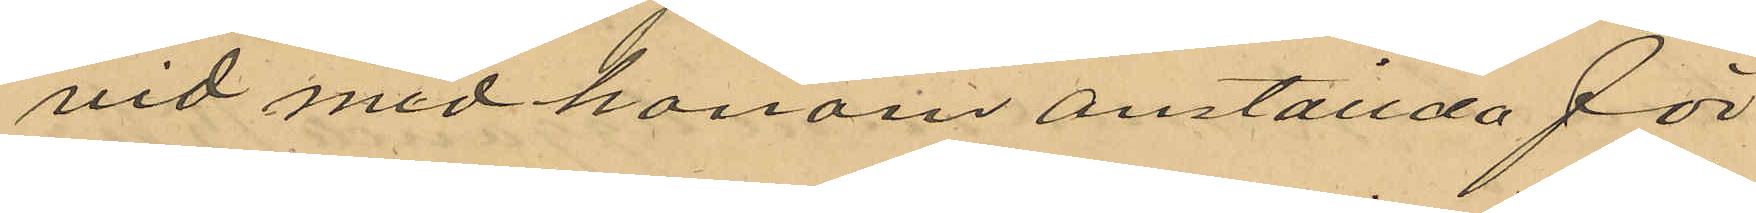vid med honom anställda för
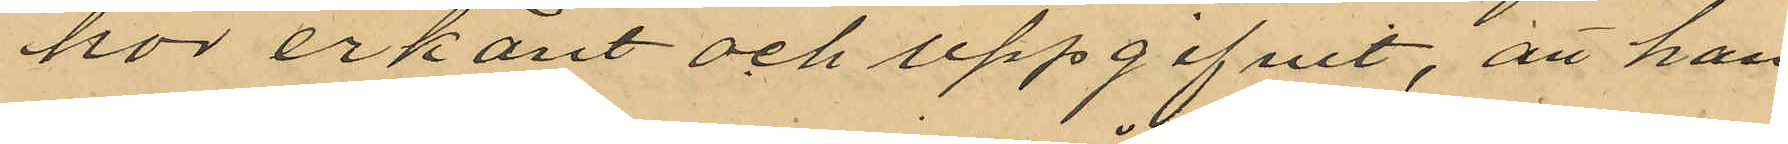hor erkänt och uppgifvit, att han
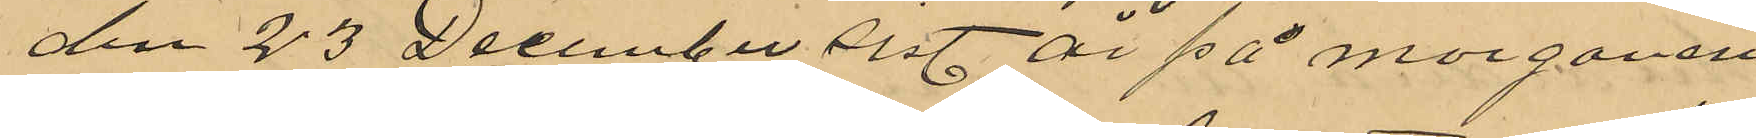den 23 December sist. år på morgonen
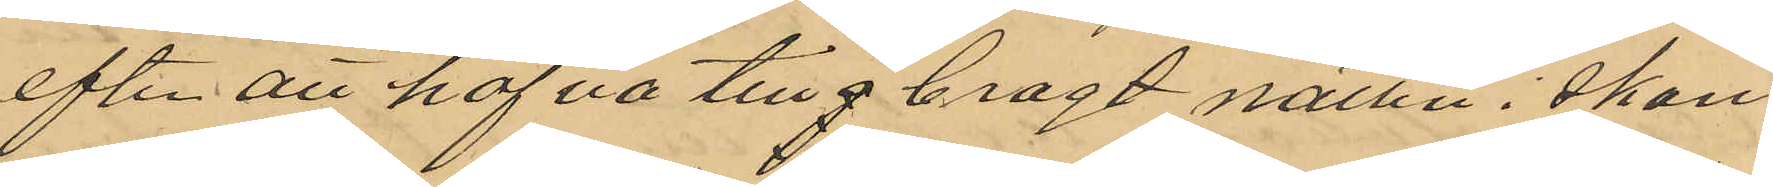efter att hafva tillgbragt natten i skan¬
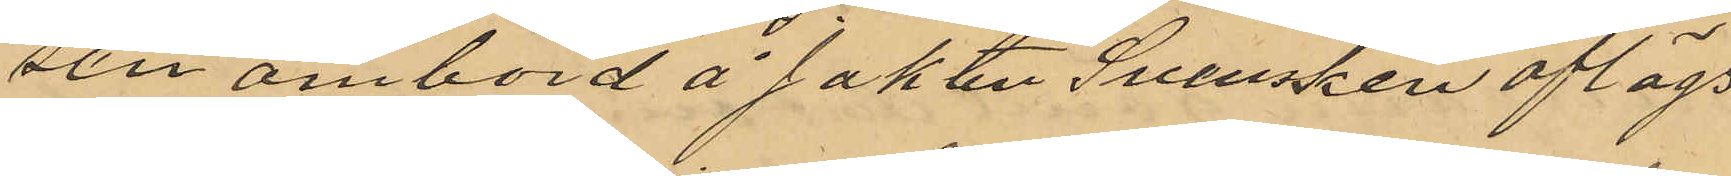sen ombord å Jakten "Svensken" aflägs
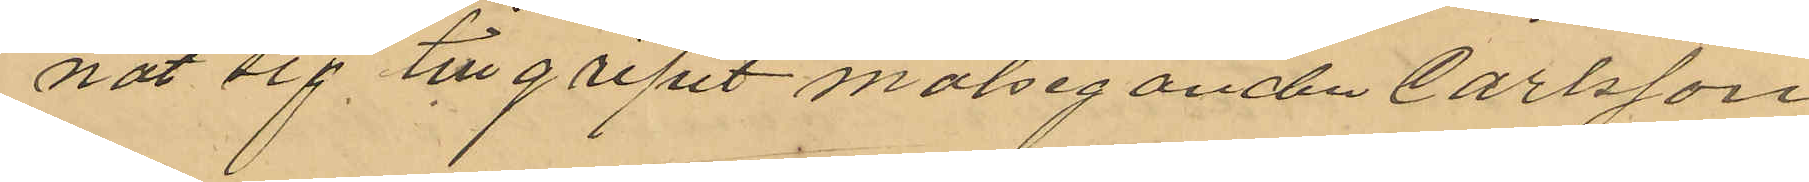nat sig tillgripit målseganden Carlsson
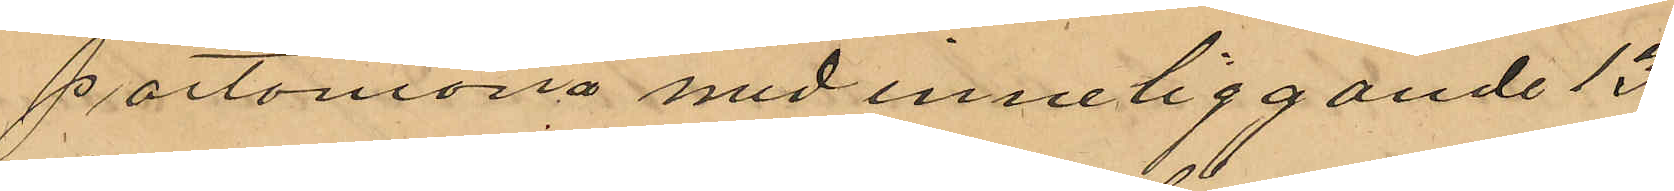portomonä med inneliggande 13
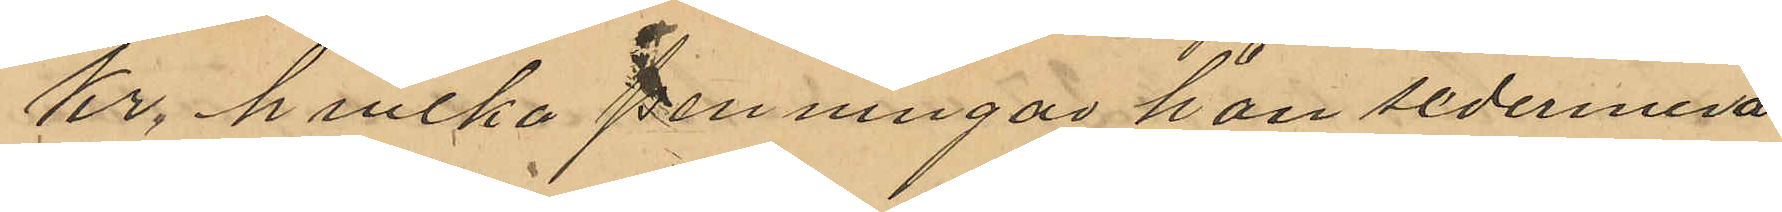Kr, hvilka penningar han sedermera
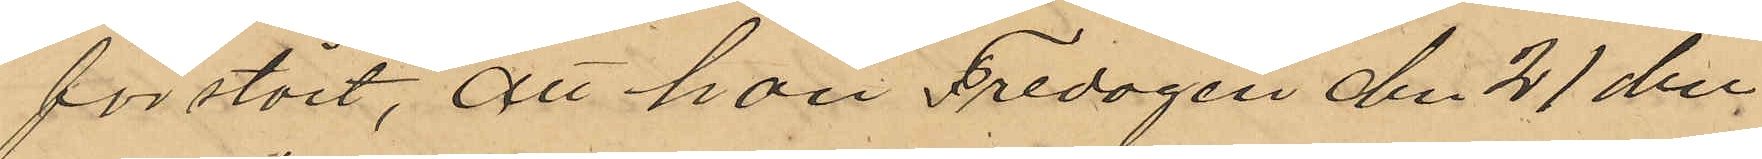förstört, att han Fredagen den 21 den¬
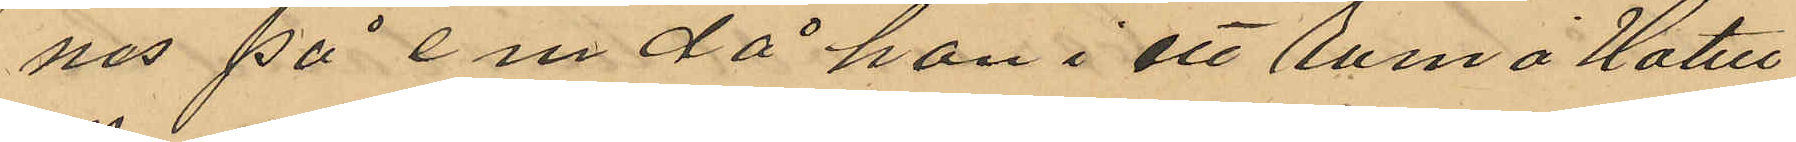nes på em då han i ett rum å Hotell
